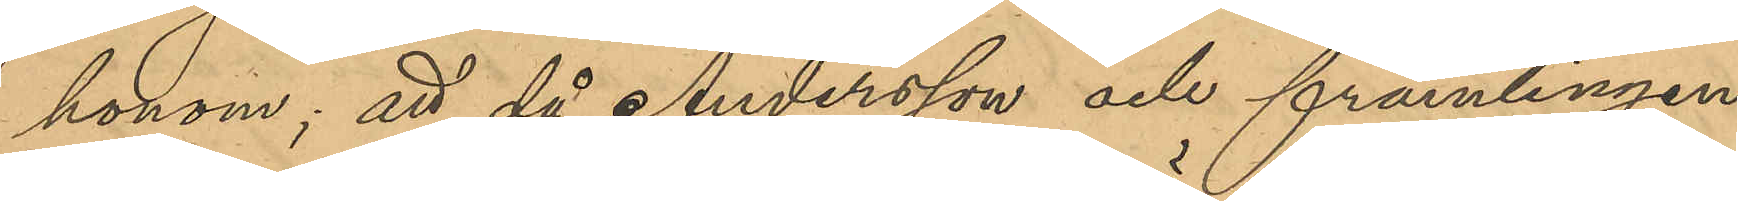honom; att då Andersson och främlingen
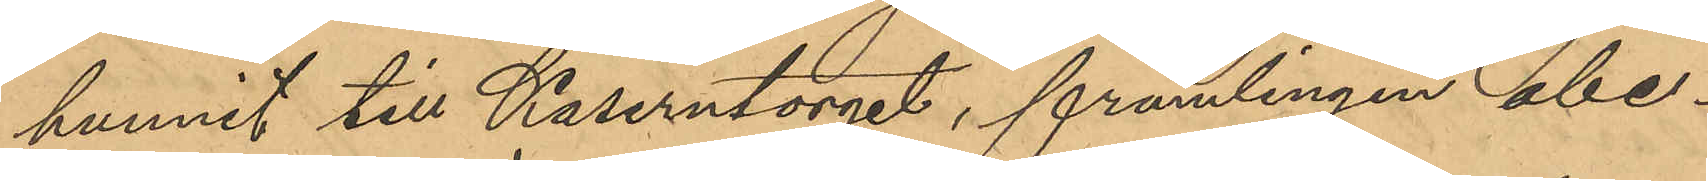hunnit till Kaserntorget, främlingen obe¬
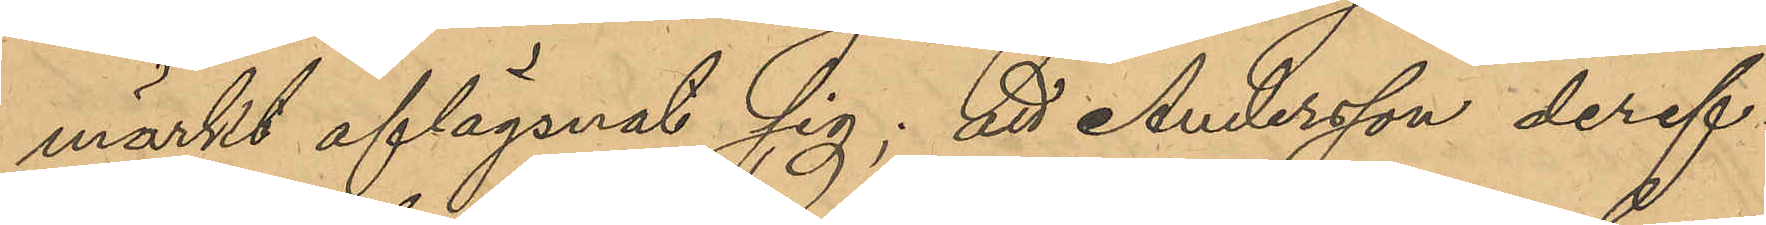märkt aflägsnat sig; att Andersson deref¬
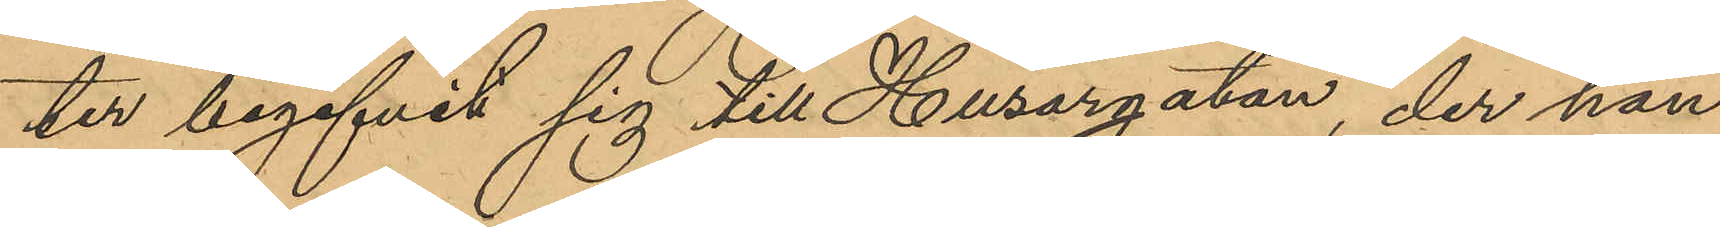ter begifvit sig till Husargatan, der han
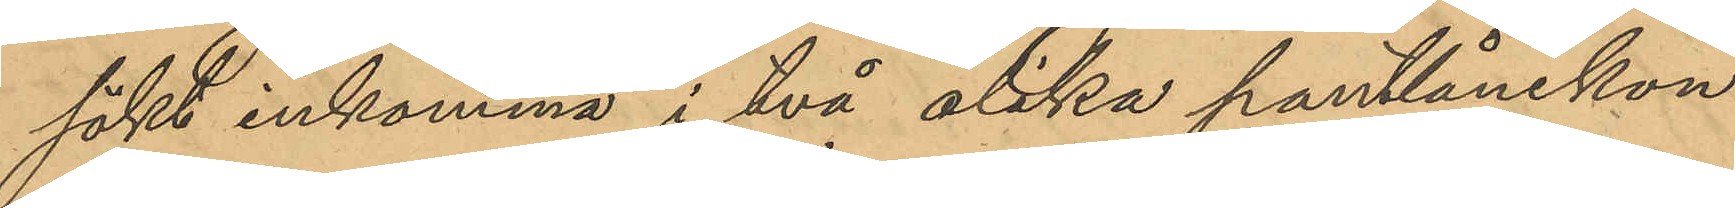sökt inkomma i två olika pantlånekon¬
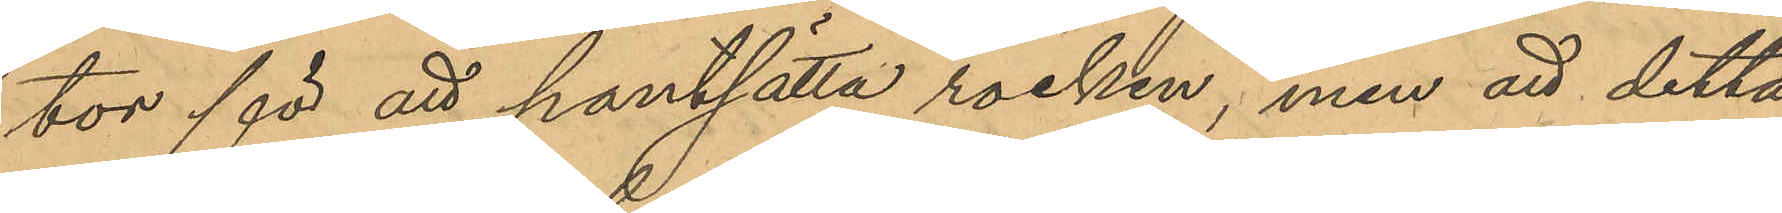tor för att pantsätta rocken, men att detta
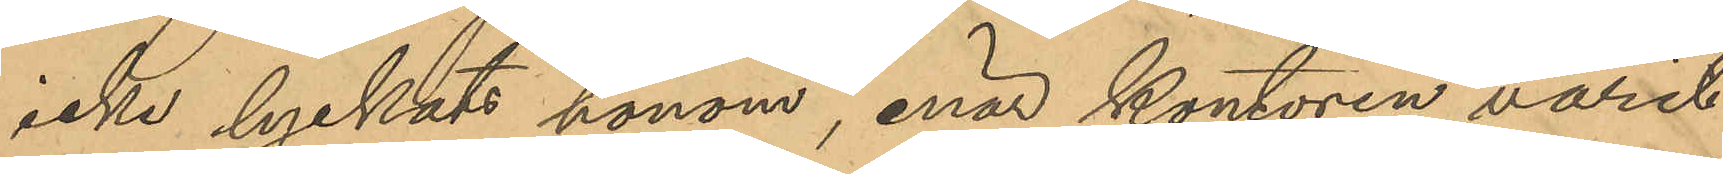icke lyckats honom, enär kontoren varit
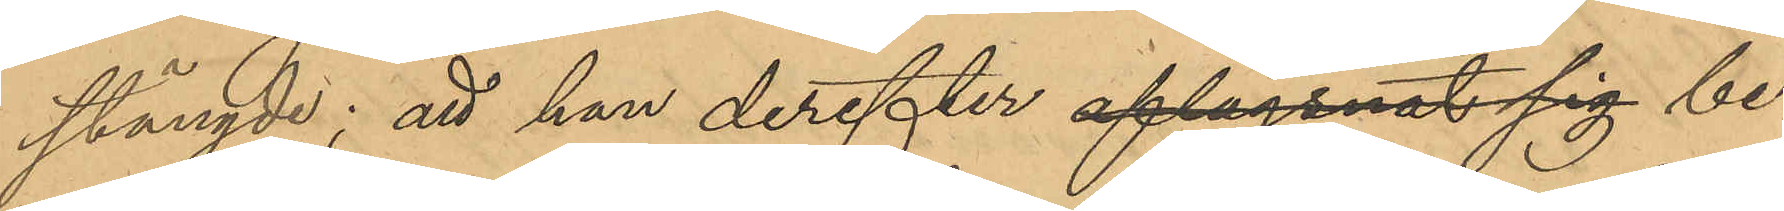stängde; att han derefter aflägsnat sig be¬
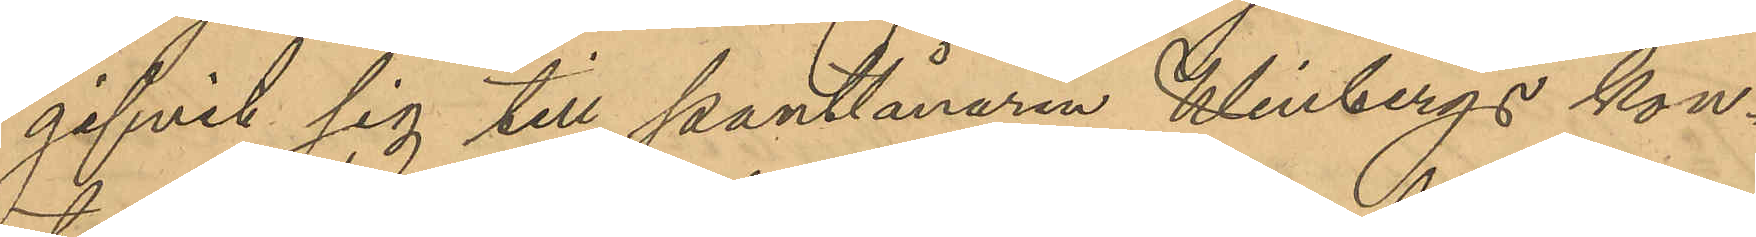gifvit sig till Pantlånare Winbergs kon¬
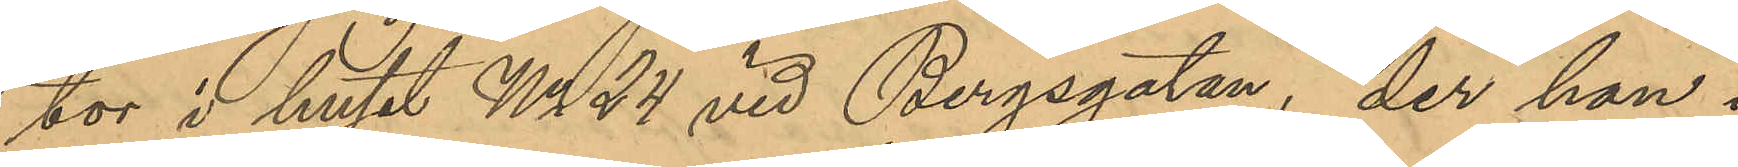tor i huset No 24 vid Bergsgatan, der han i
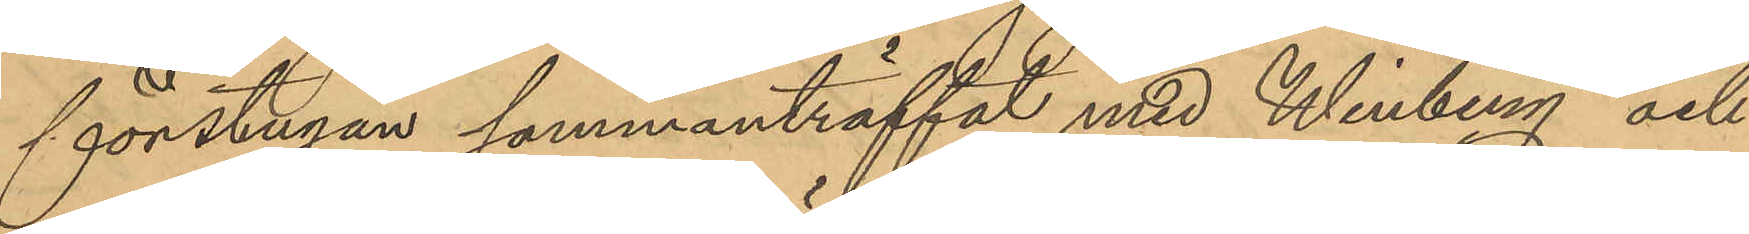förstugan sammanträffat med Winberg och
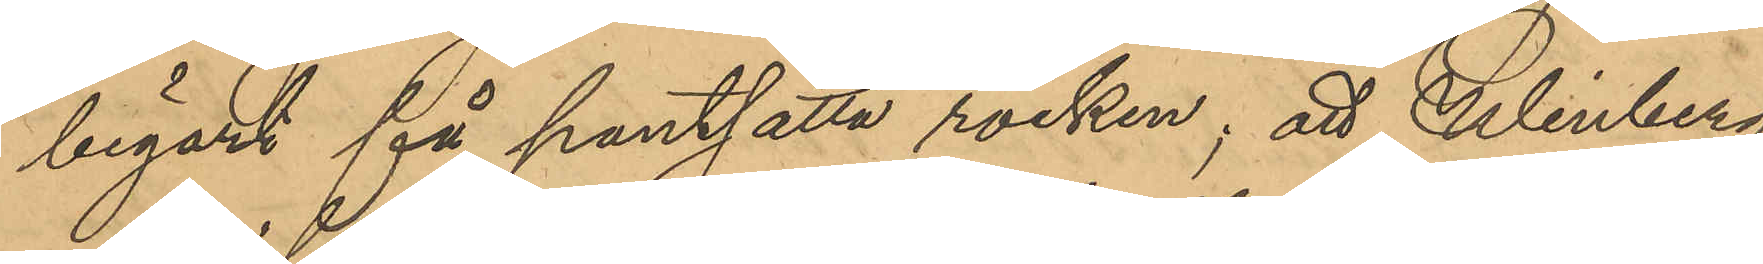begärt få pantsätta rocken; att Winberg
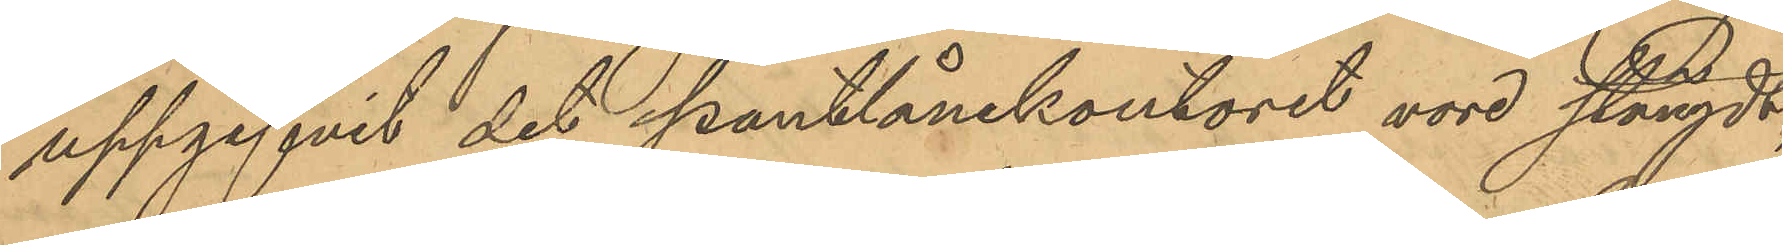uppgifvit det pantlånekontoret vore stängdt,
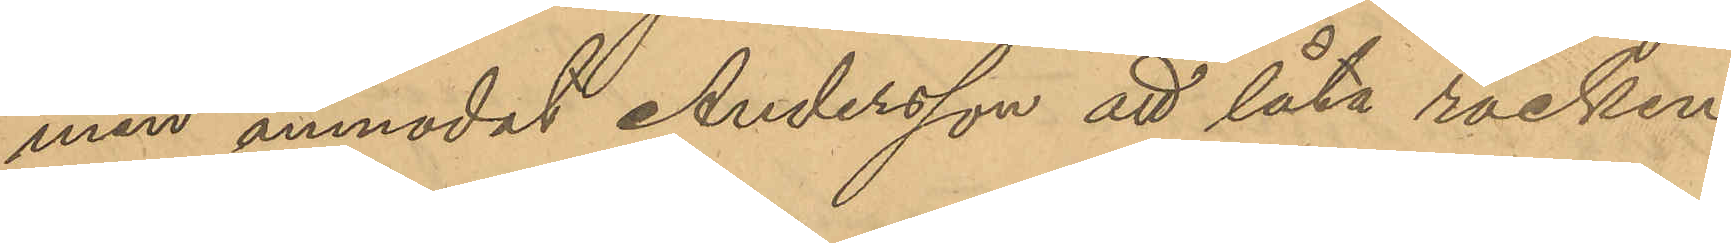men anmodat Andersson att låta rocken
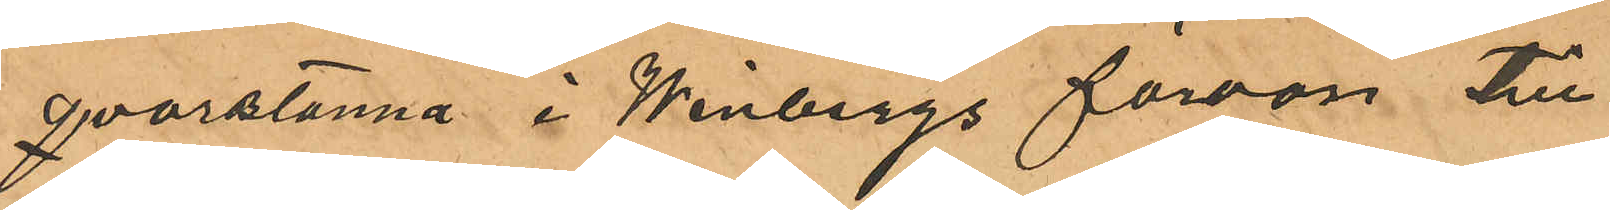qvarstanna i Winbergs förstuga till
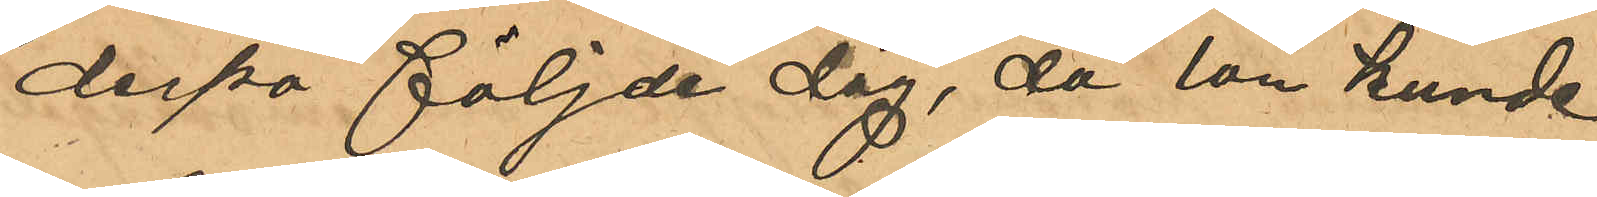derpå följde dag, då lån kunde
